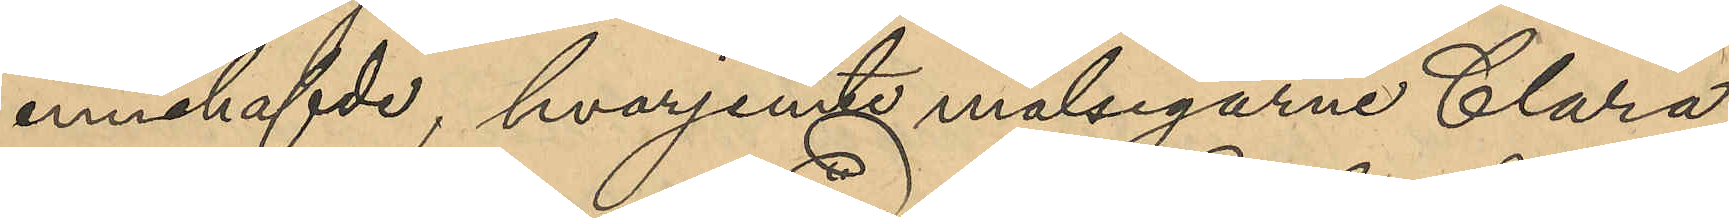innehafde, hvarigenom målsegarne Clara
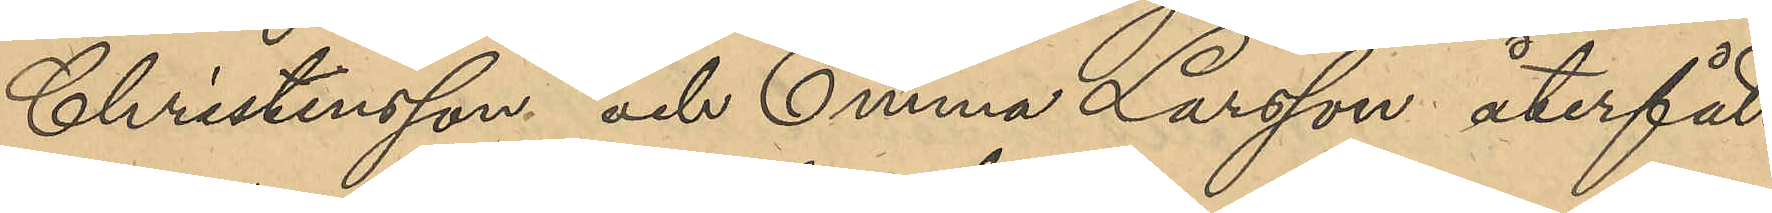Christensson och Emma Larsson återfått
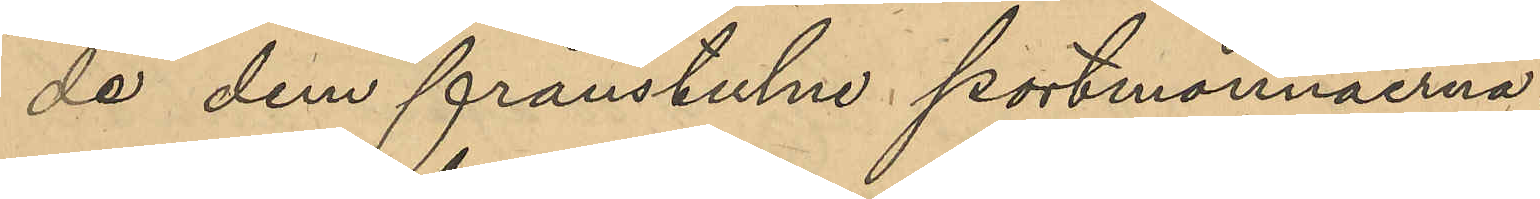de dem frånstulne portmonnäerna.
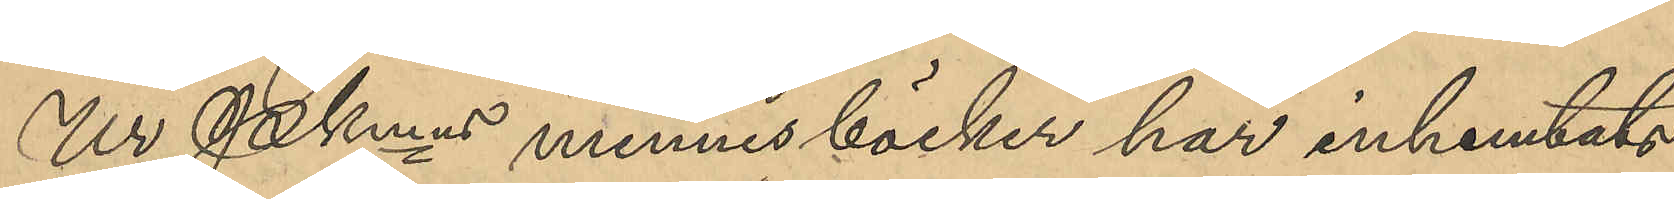Ur PKmns minnesböcker har inhemtats
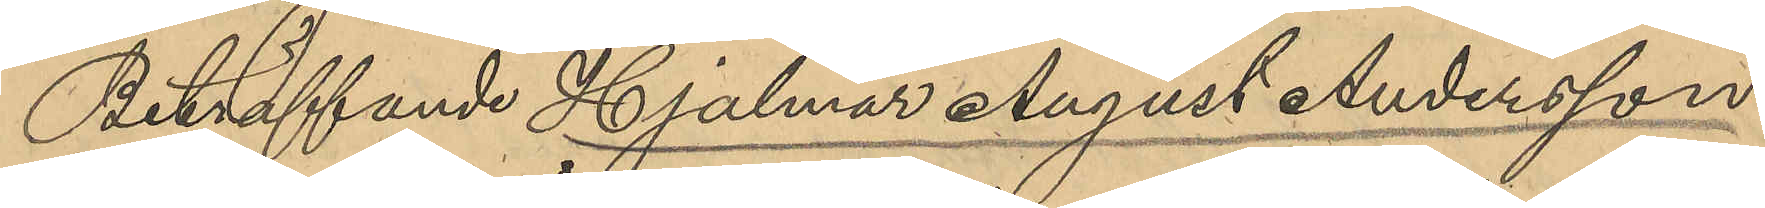Beträffande Hjalmar August Andersson:
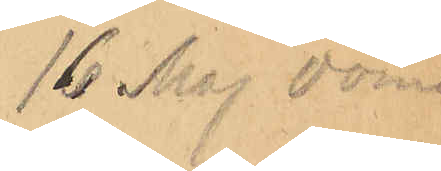16 Maj dömd
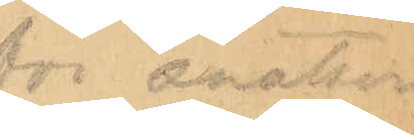för snatteri
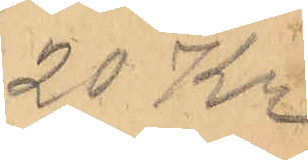20 Kr.
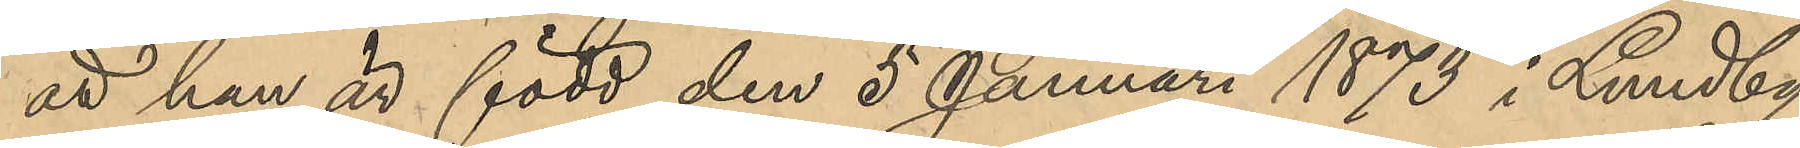att han är född den 5 Januari 1873 i Lundby
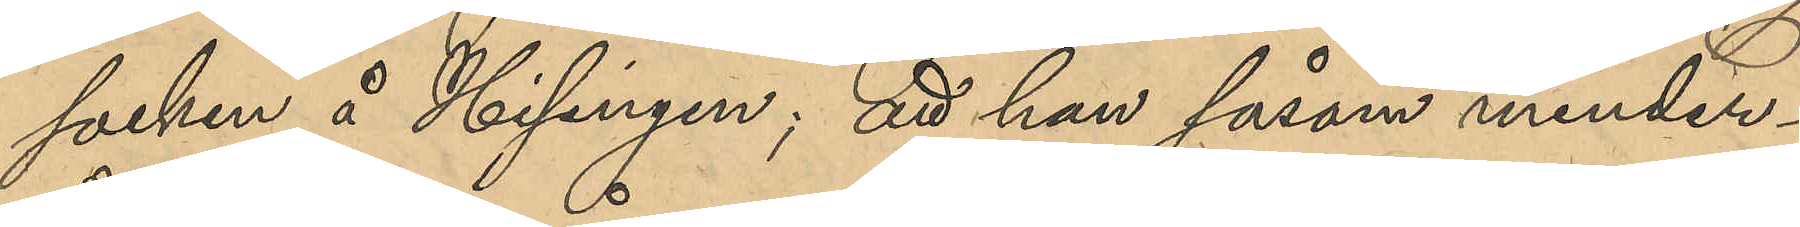socken å Hisingen; att han såsom minder¬
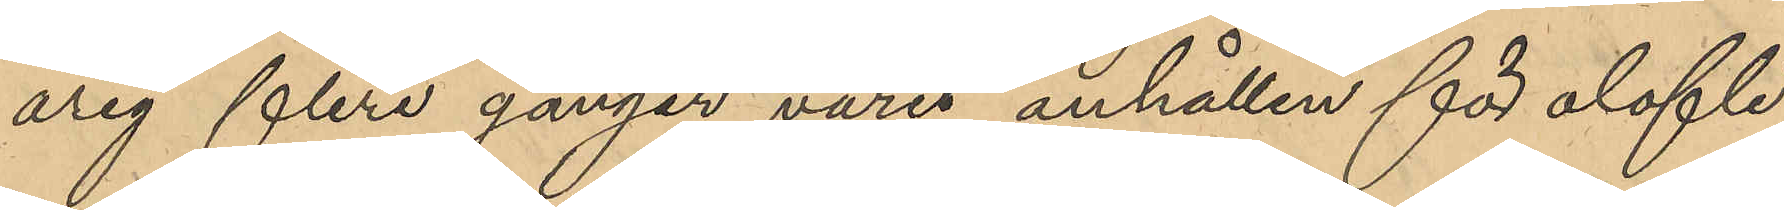årig flere gånger varit anhållen för olofli¬
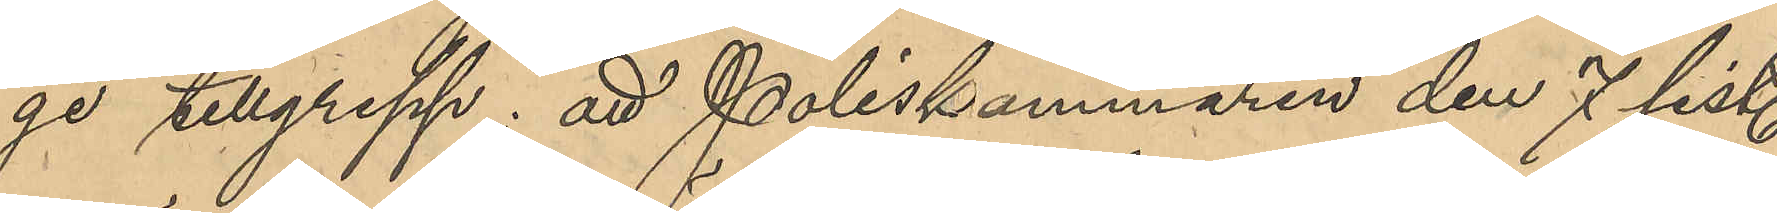ge tillgrepp; att Poliskammaren den 7 sist.
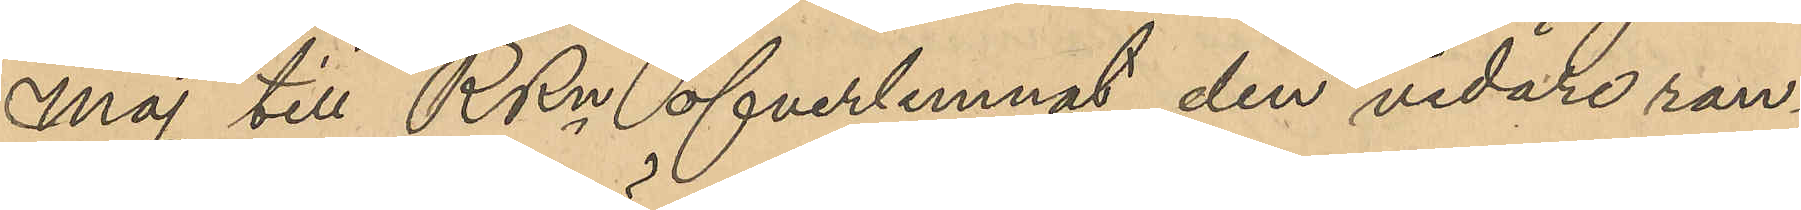Maj till RRn öfverlemnat den vidare rann¬
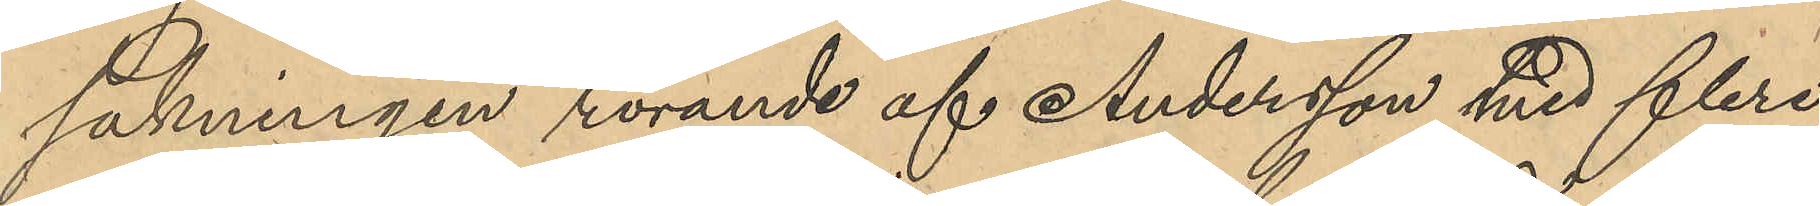sakningen rörande af Andersson med flera
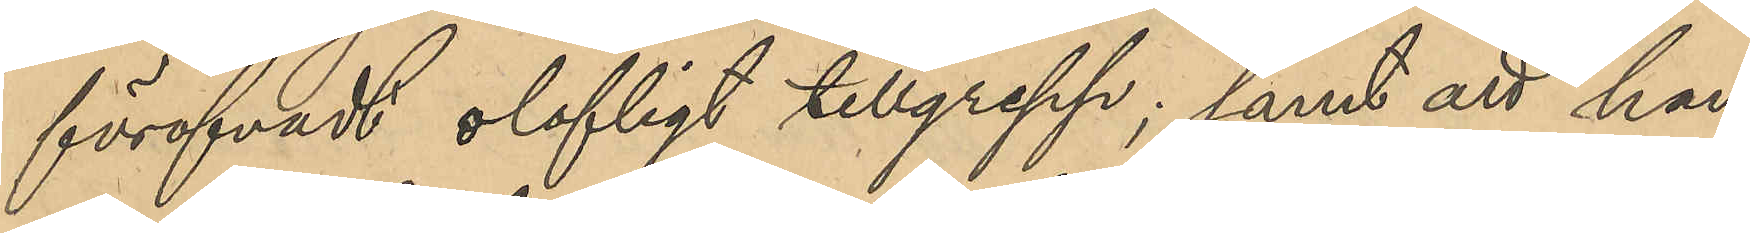föröfvadt olofligt tillgrepp; samt att han
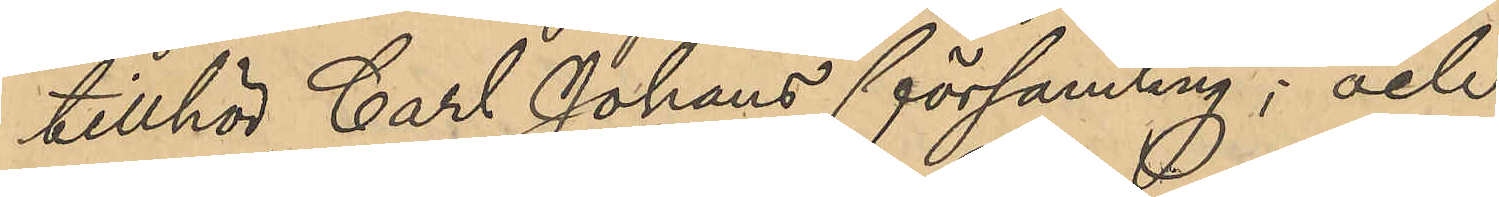tillhör Carl Johans församling; och
